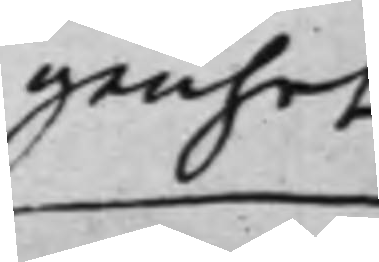genhet
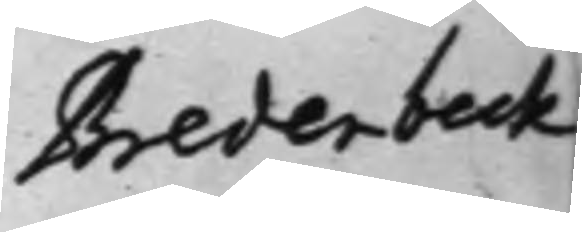Bredenbeck
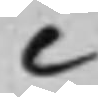C
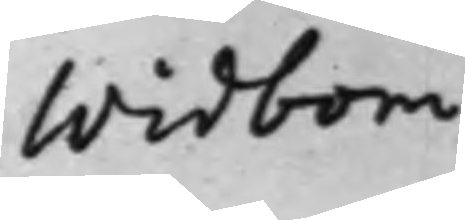Widbom
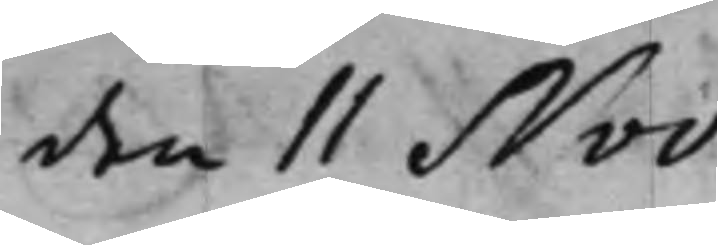den 11 Nov.
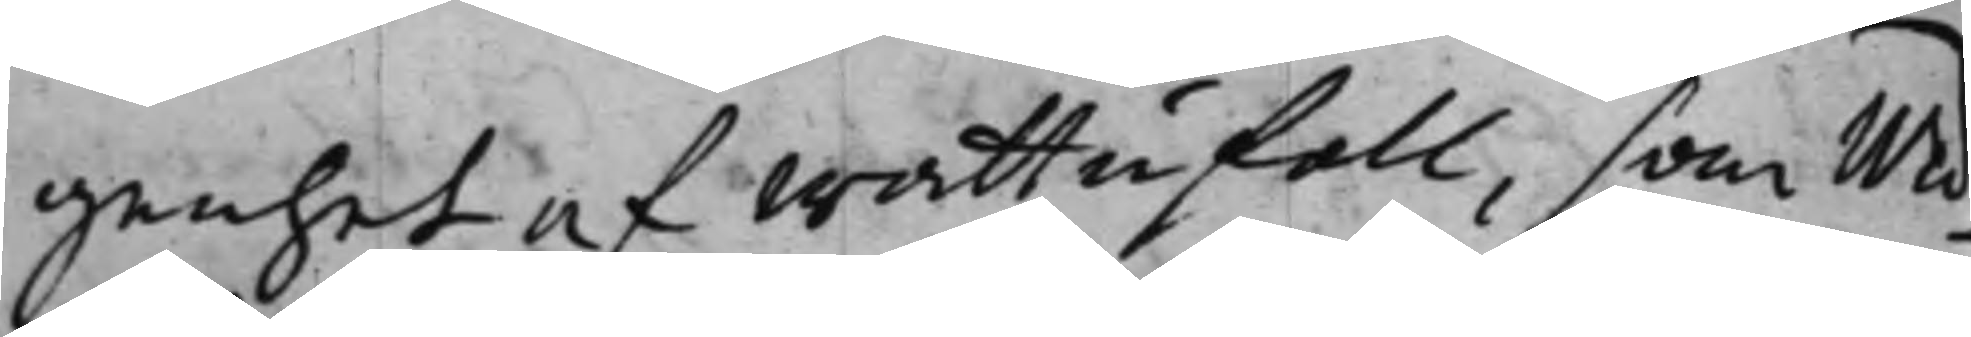genhet af wattufall, som Wid¬
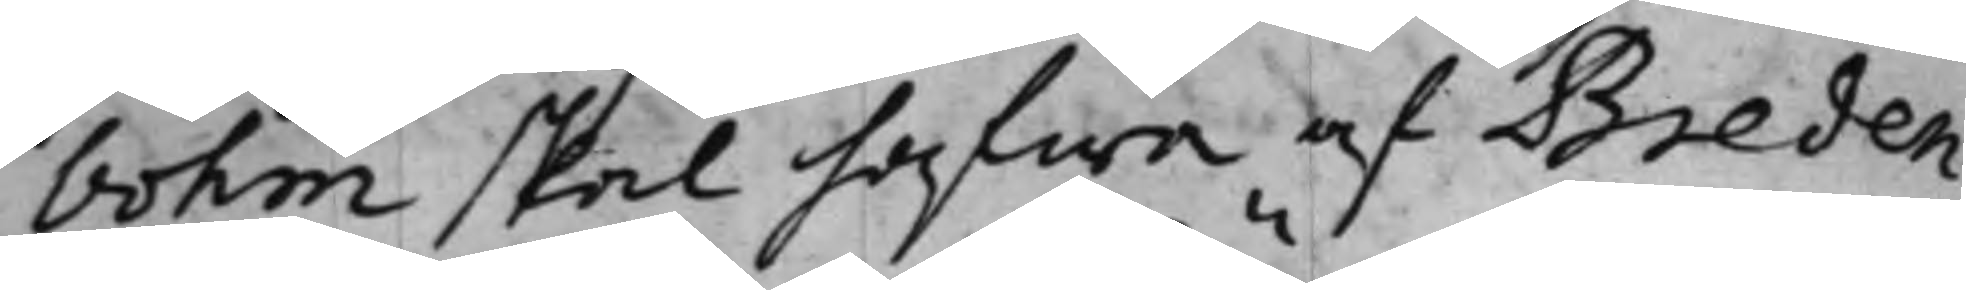bohm skal hafwa af Breden¬
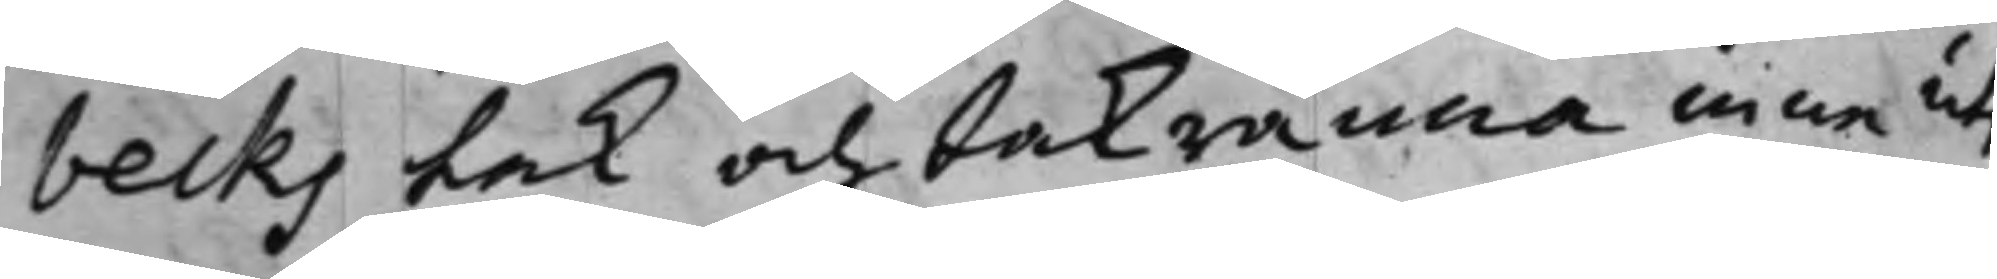becks tak och takränna inne utj
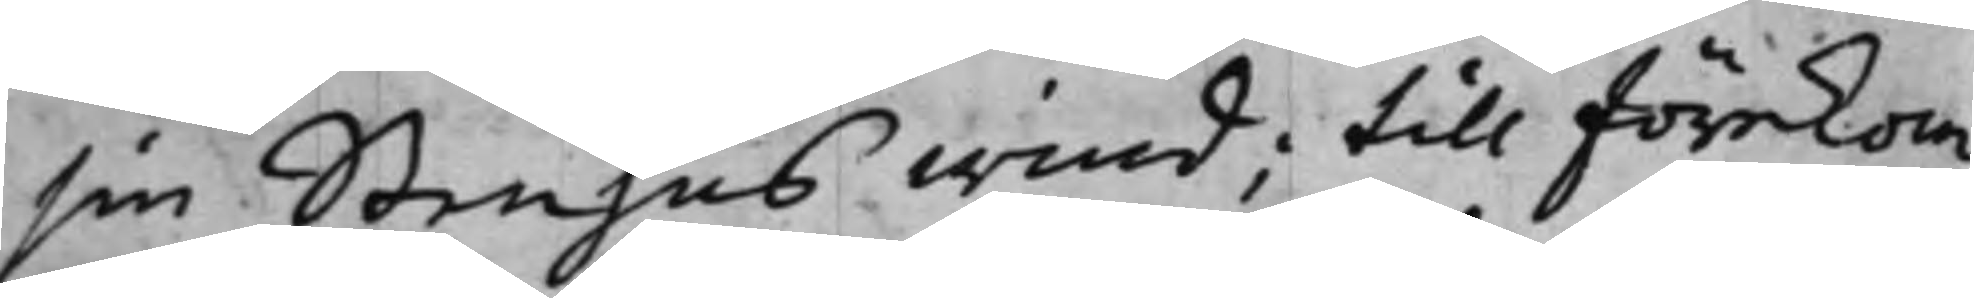sin Stenhus wind; till förekom¬
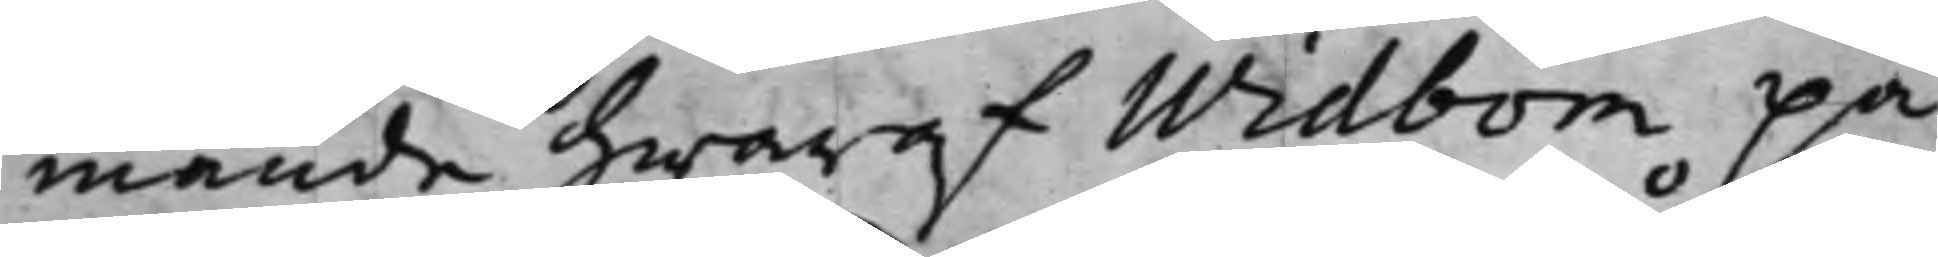mande hwaraf Widbom på¬
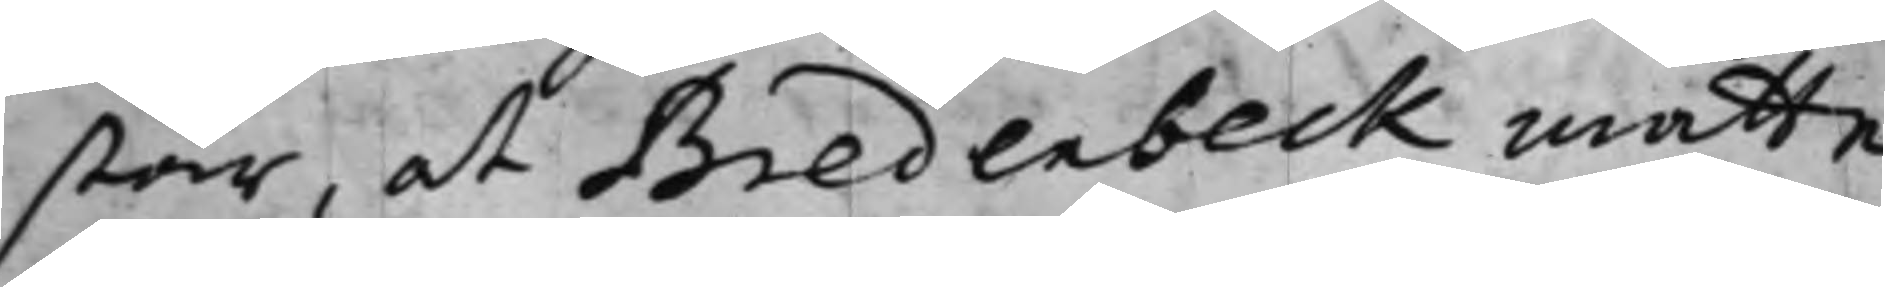står, at Bredenbeck måtte
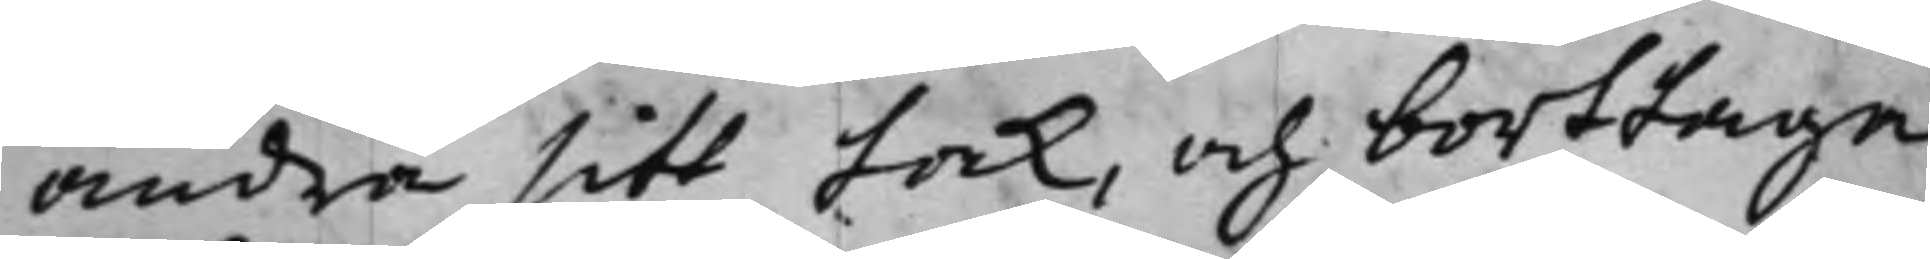ändra sitt tak, och borttaga
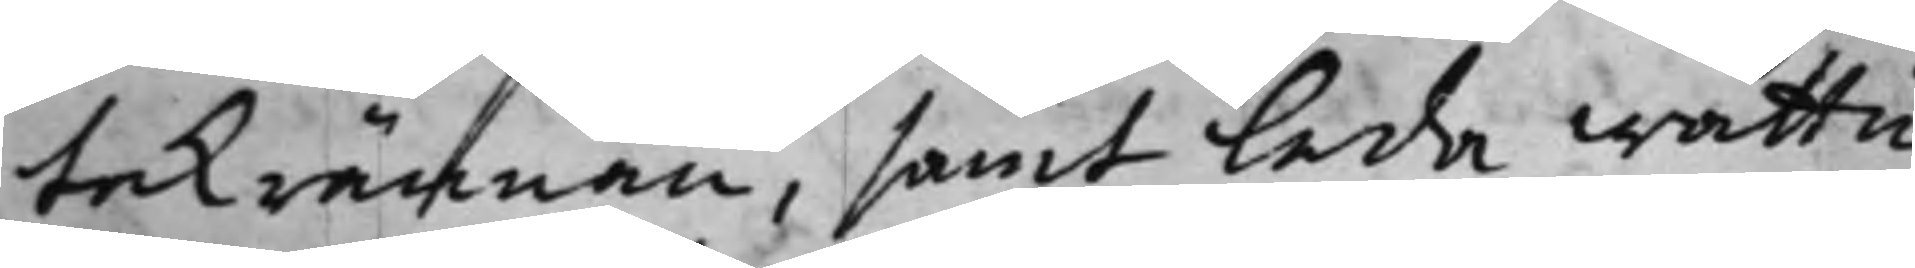takrännan, samt Leda wattu¬
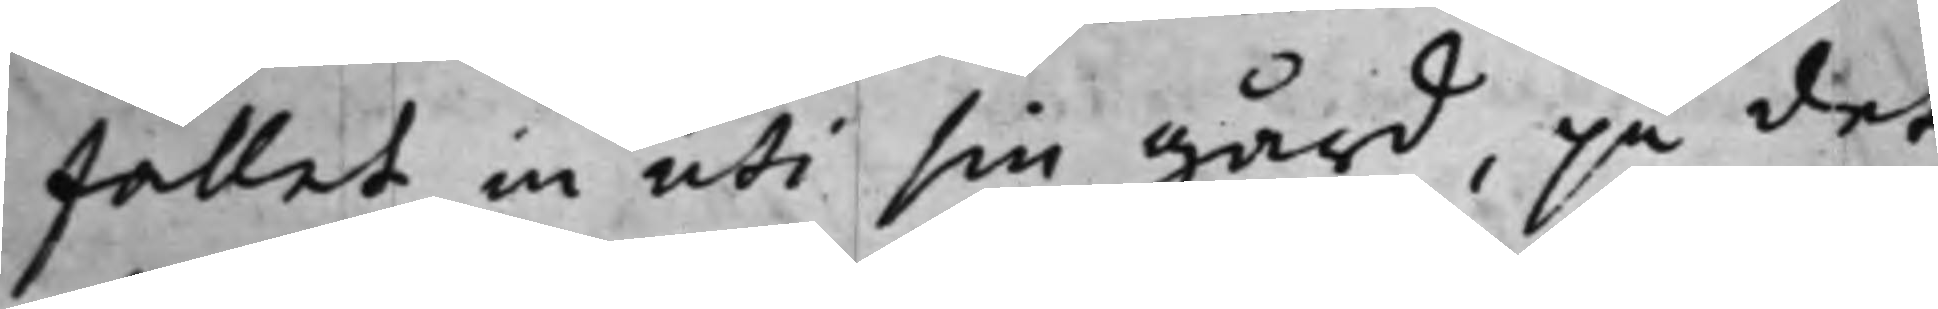fallet in uti sin gård, på det
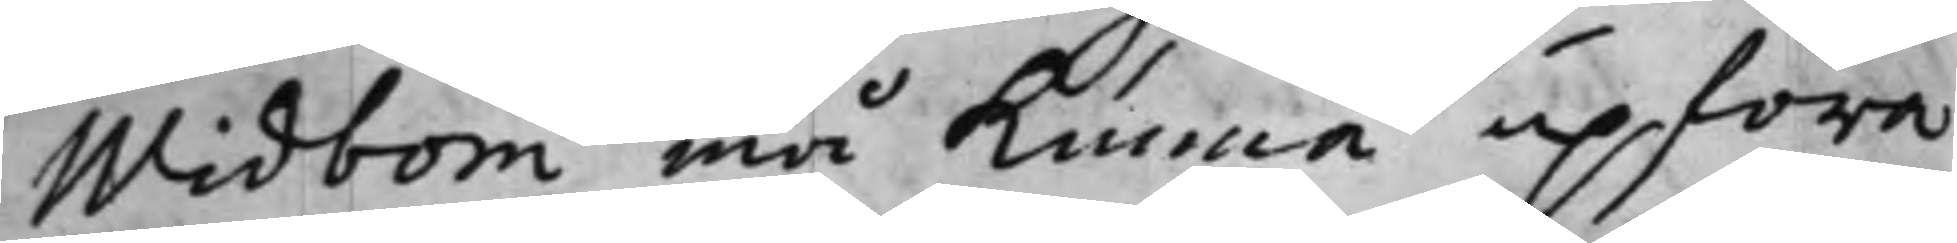Widbom må kunna upföra
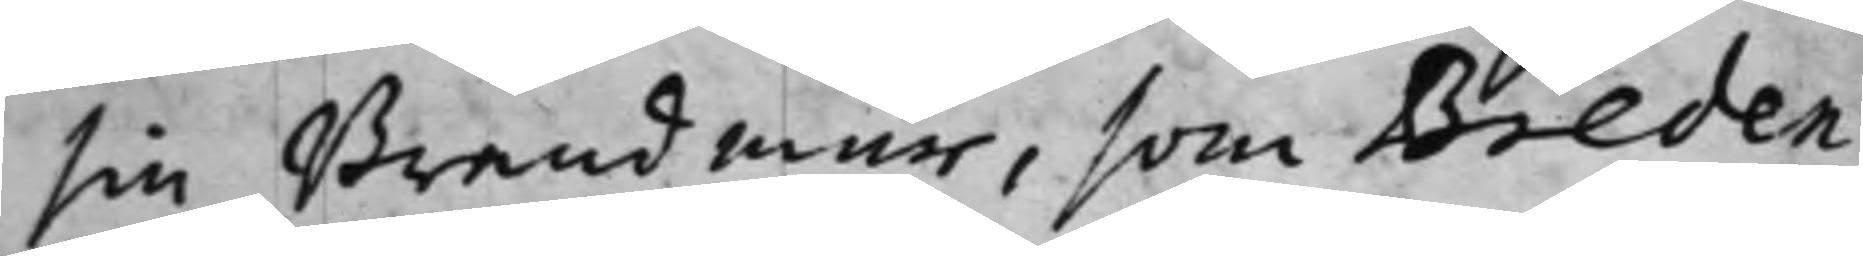sin Brandmur, som Breden¬
